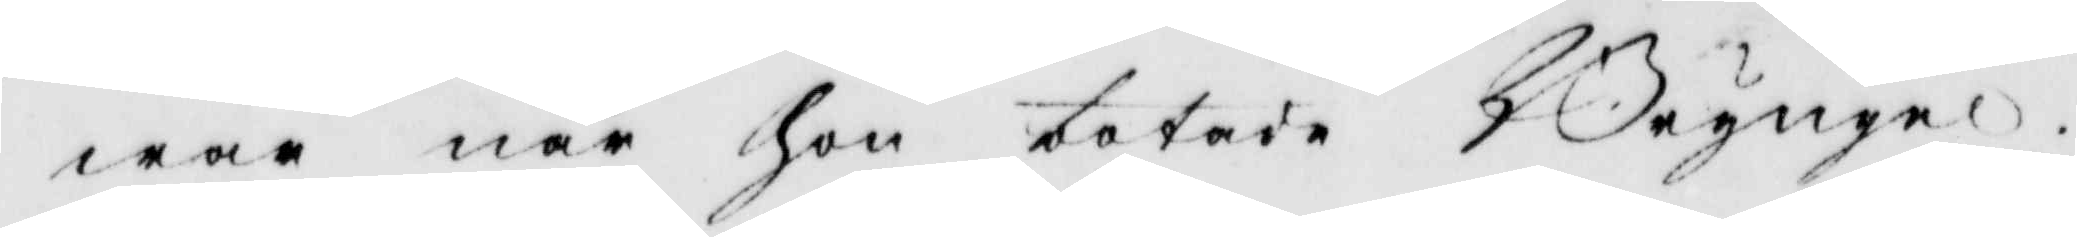war när hon botade Bryngel.
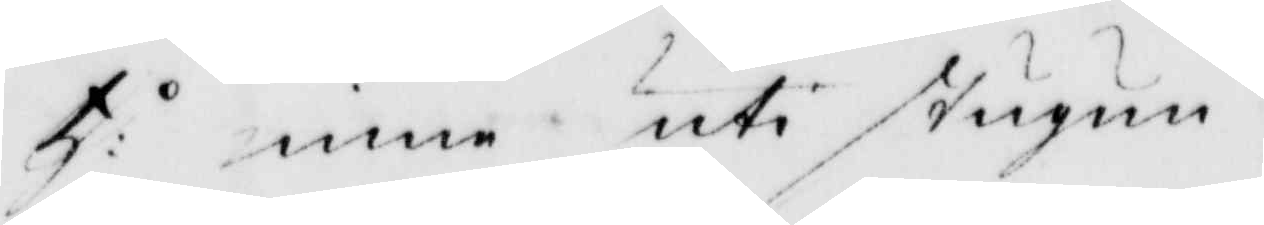Tj: inne uti stugun.
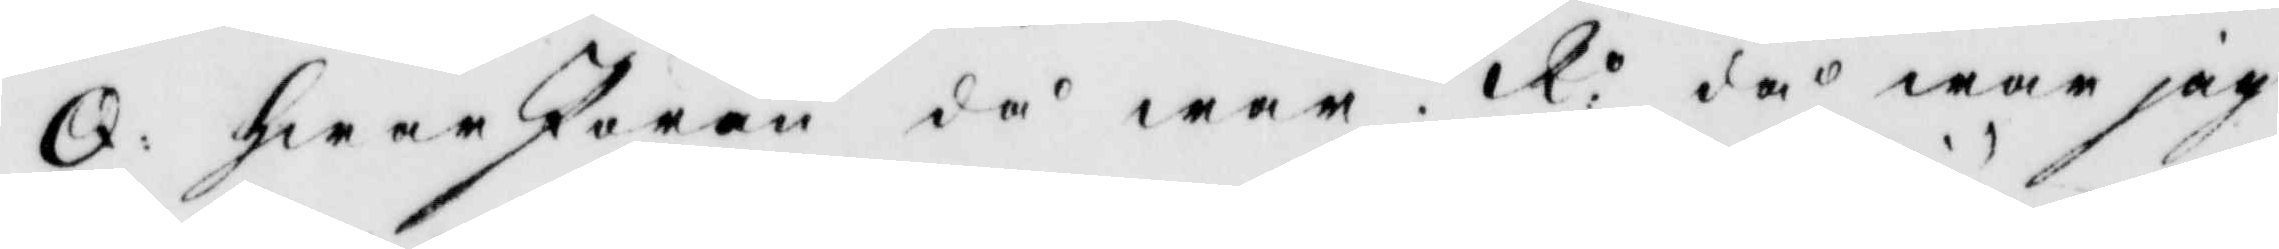Q: hwar Jöran då war? R: då war jag
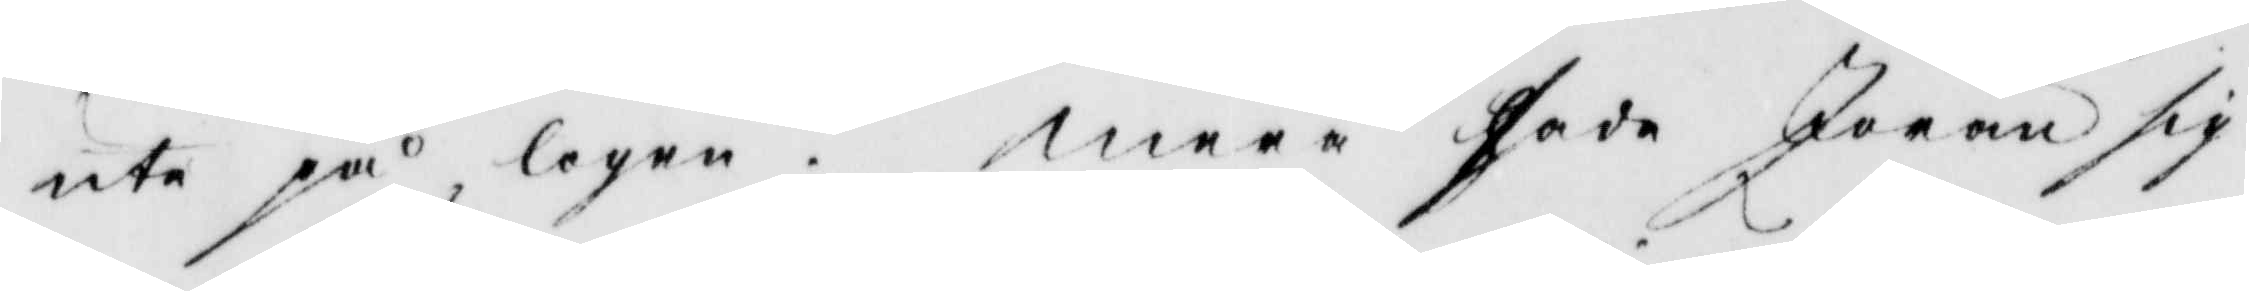ute på logen. mera sade Jöran sig
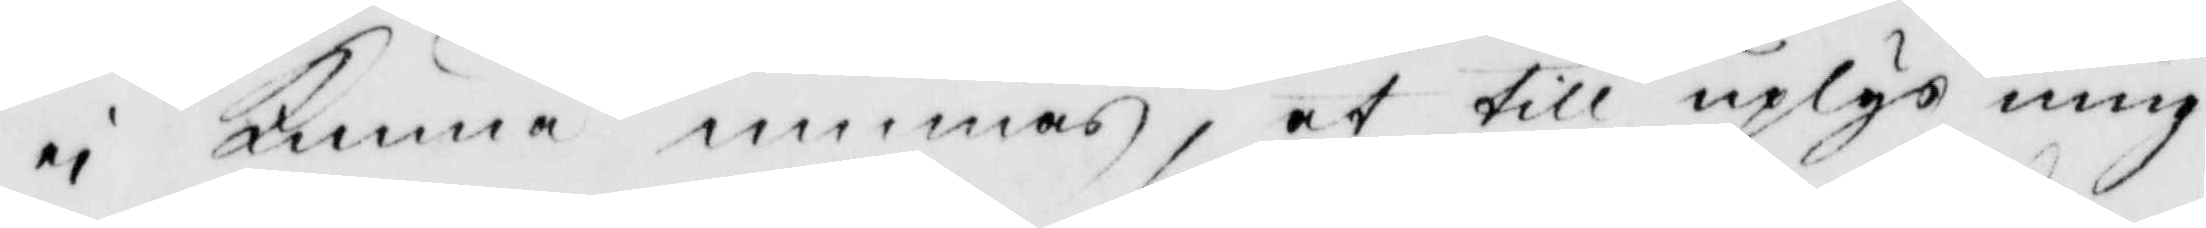ej kunna minnas, at till uplysning
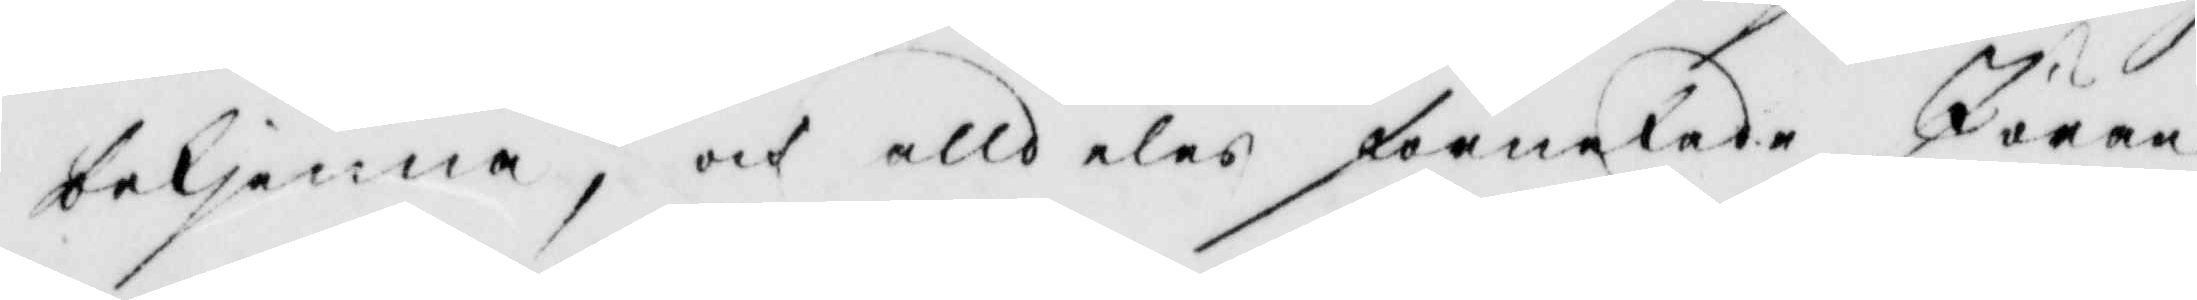bekjenna, och alldeles förnekade Jöran
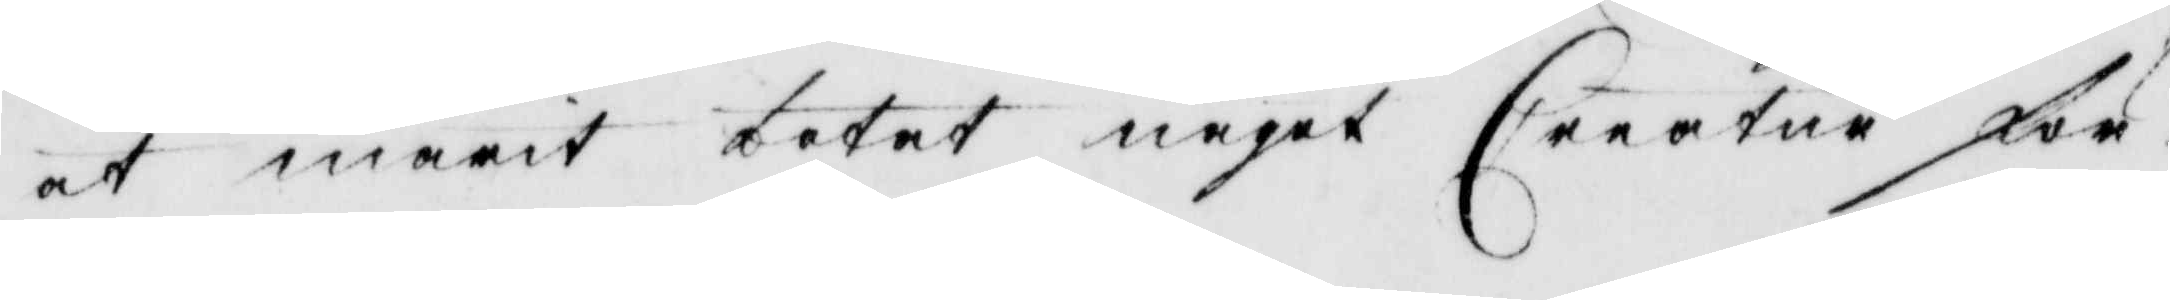at marit botat något Creatur för
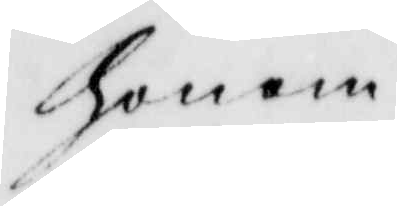honom.
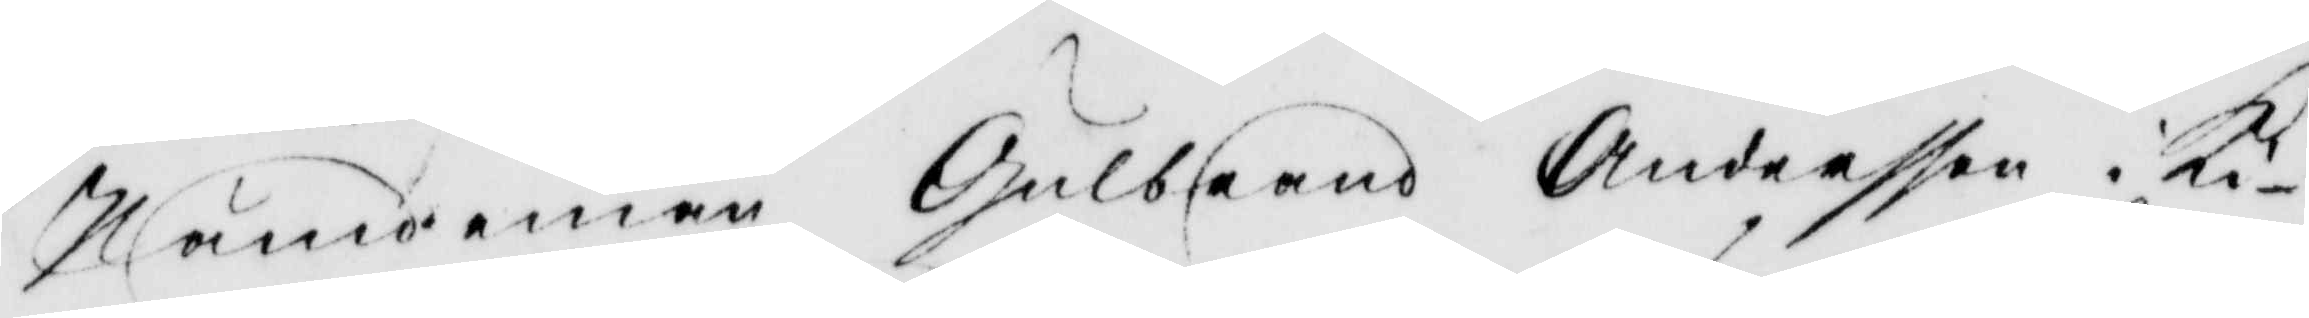Nämdeman Gulbrand Andersson i Ki¬
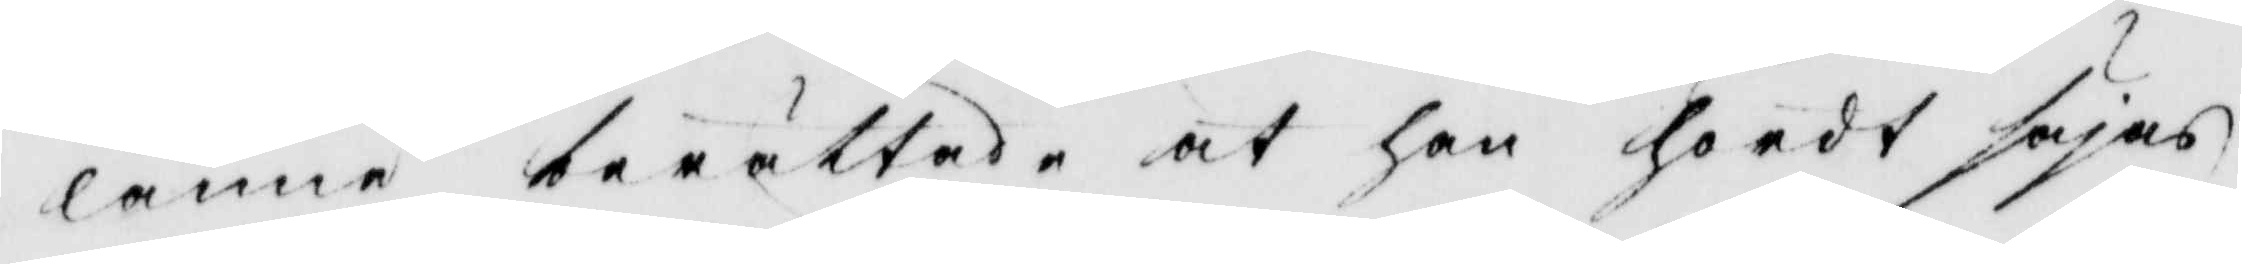lanne berättade at han hördt säjas
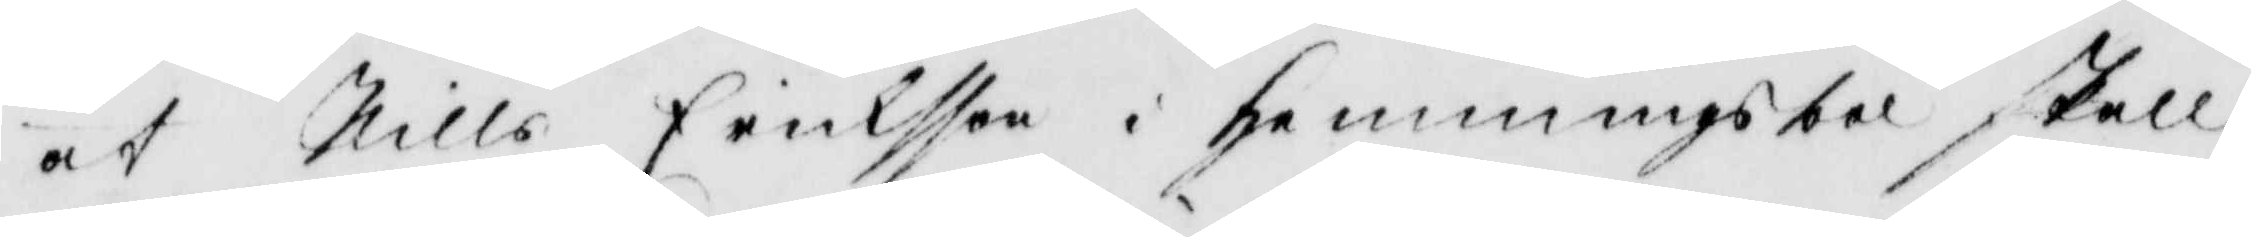at Nills Eriksson i Hemmingsbol skall
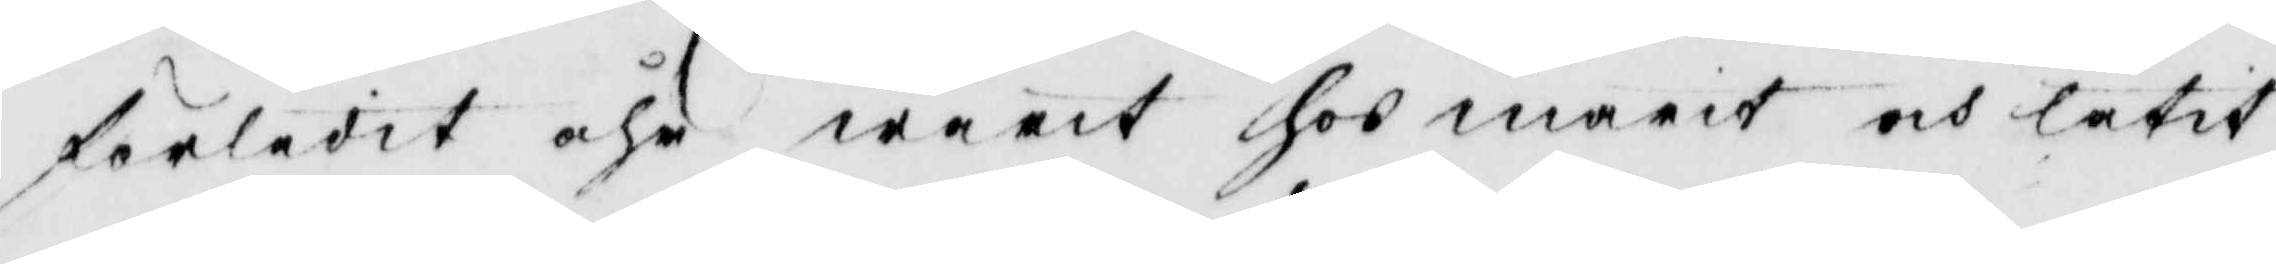förledit åhr warit hos marit och låtit
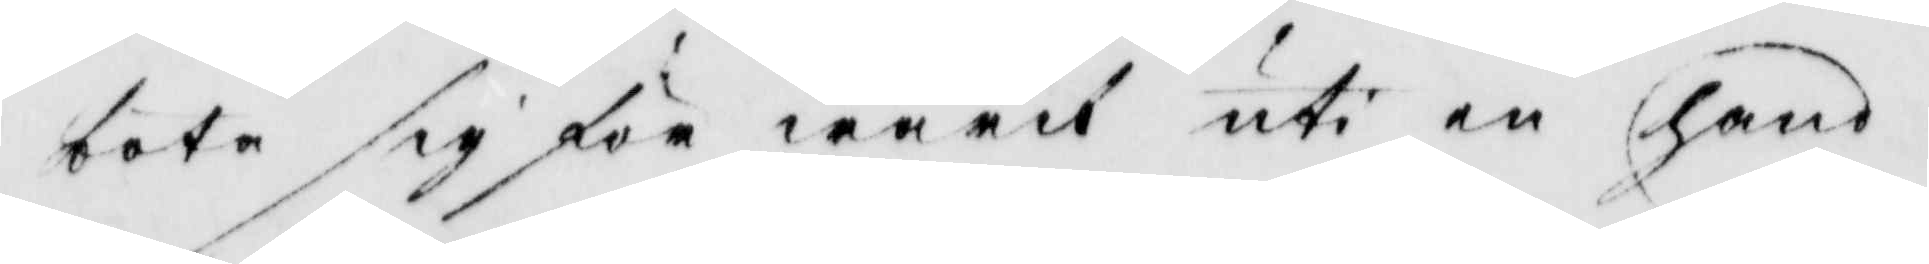bota sig för wärk uti en hand.
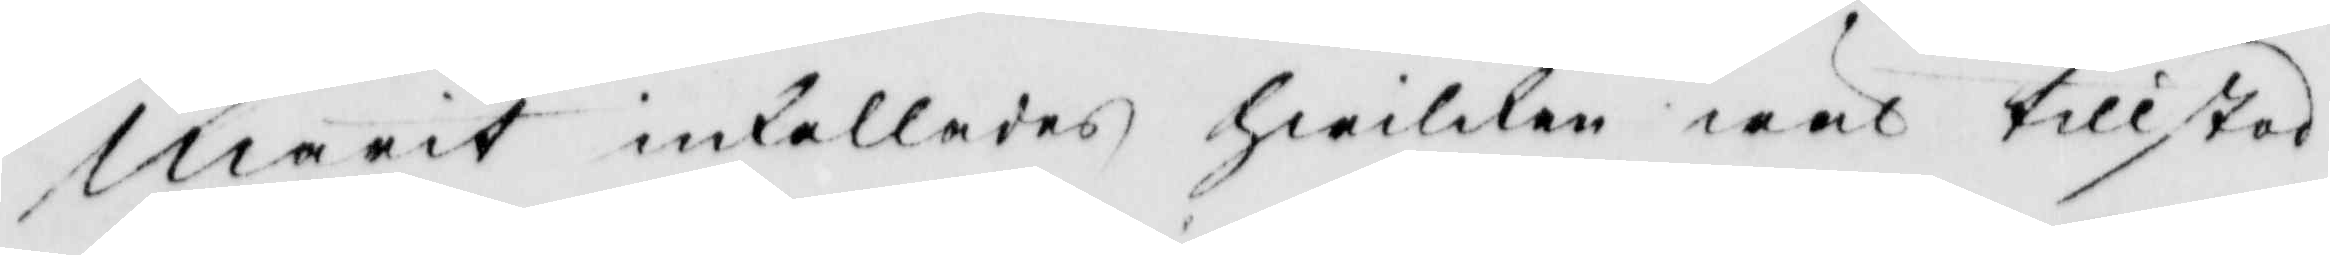marit inkallades hwilken wäl tillstod
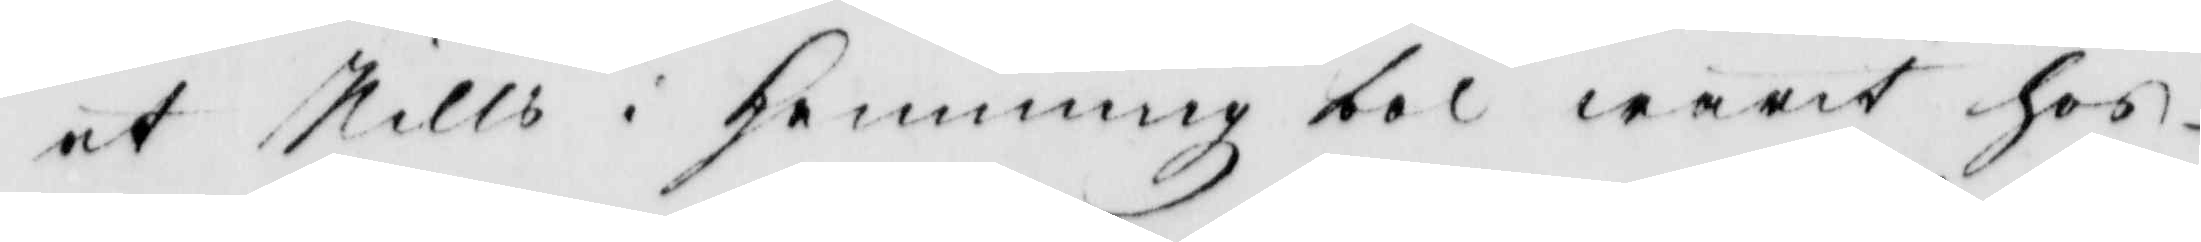at Nills i hemmingbol warit hos
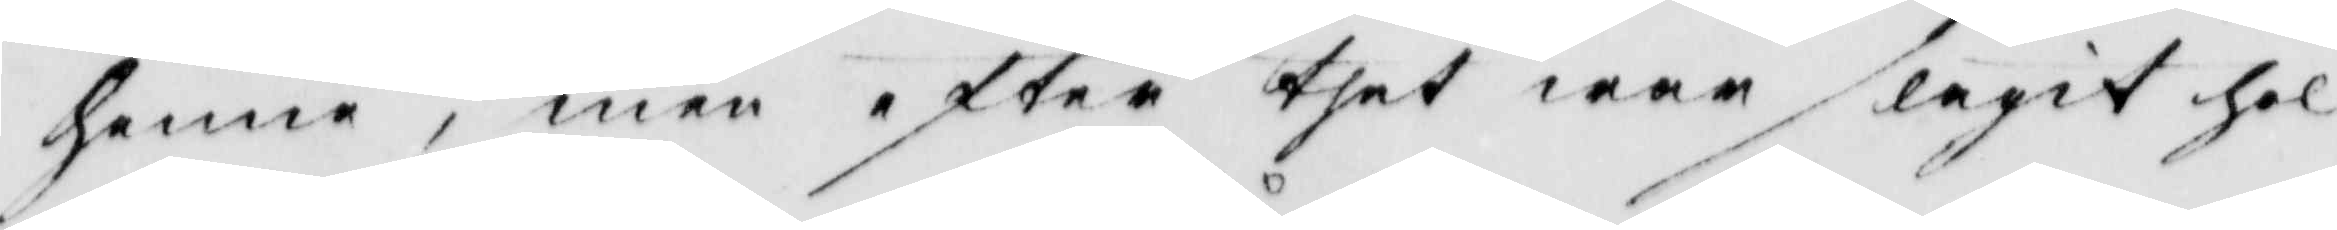henne, men efter thet war slagit hol
